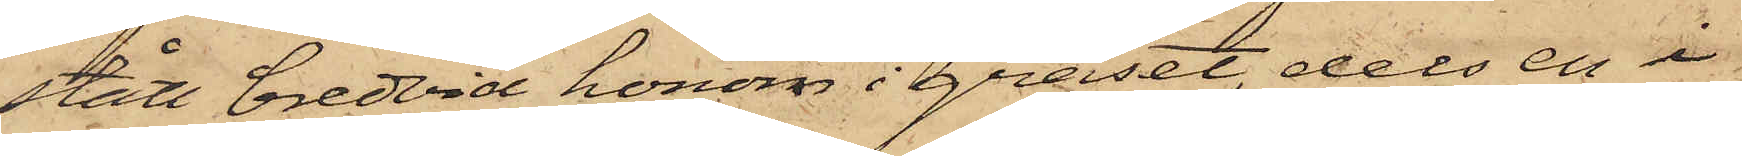stått bredvid honom i gräset, dels en i
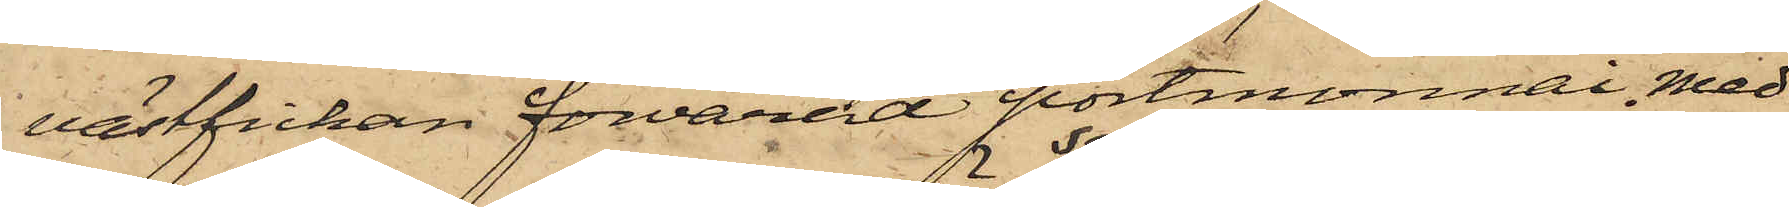västfickan förvarad portmonnai med
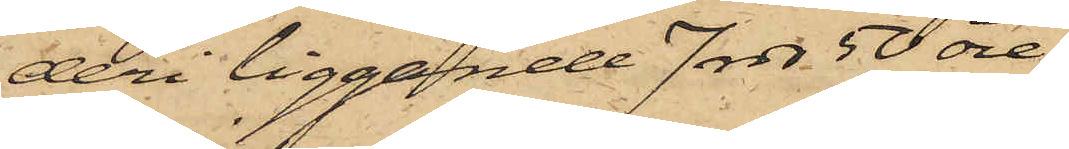deri liggande 7 rdr 50 öre;
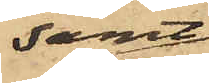samt
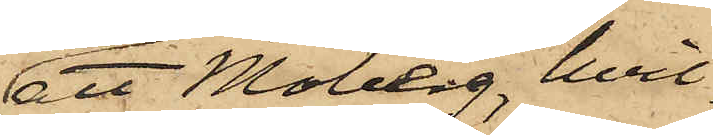att Moberg, hvil¬
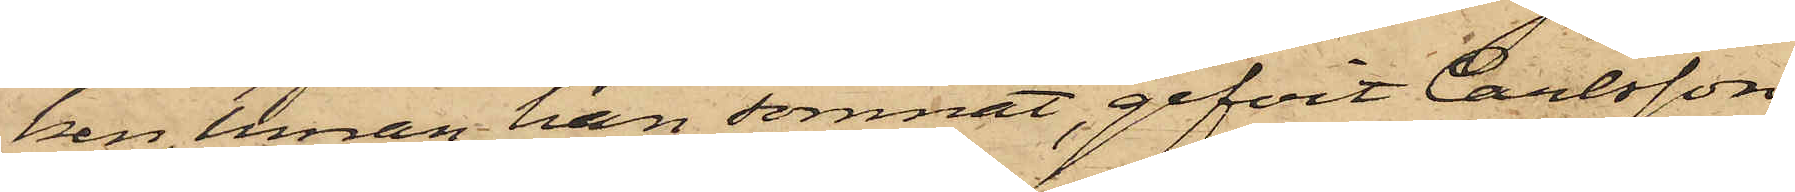ken, innan han somnat, gifvit Carlsson
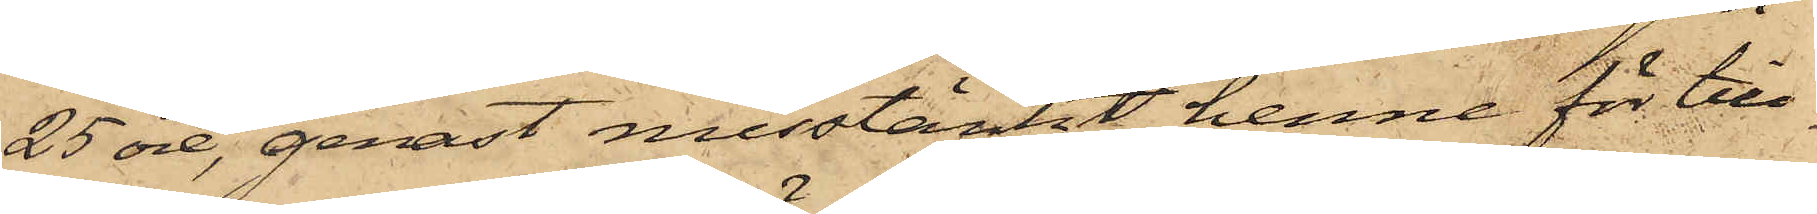25 öre, genast misstänkt henne för till¬
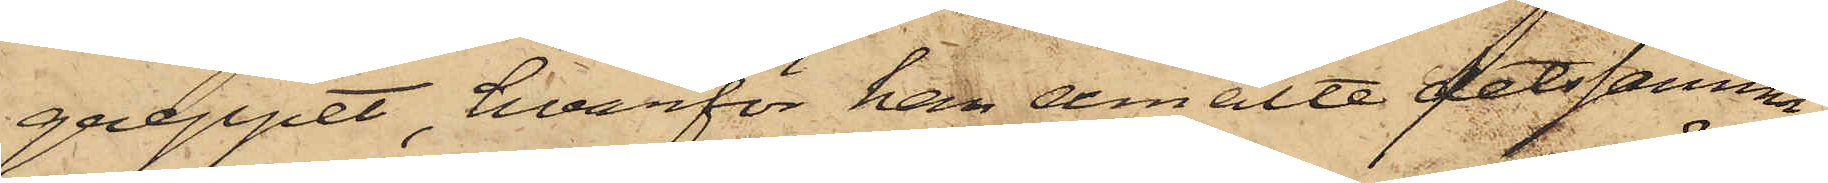greppet, hvarför han anmälte detsamma
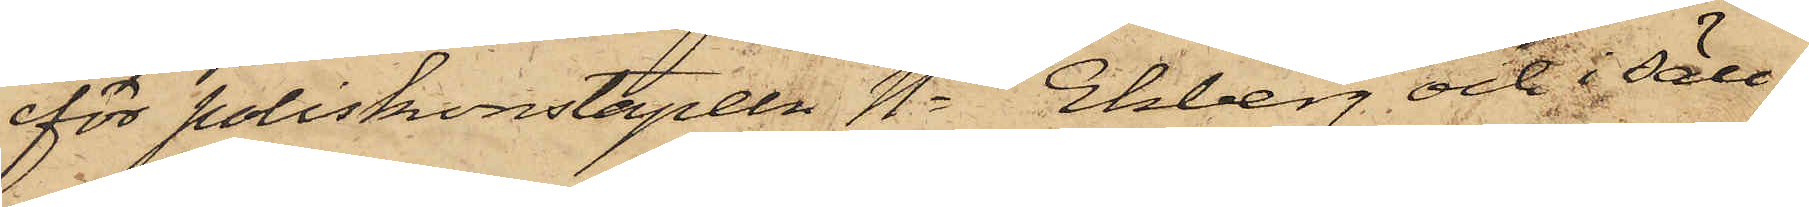för poliskonstapeln No Ekberg och i säll¬
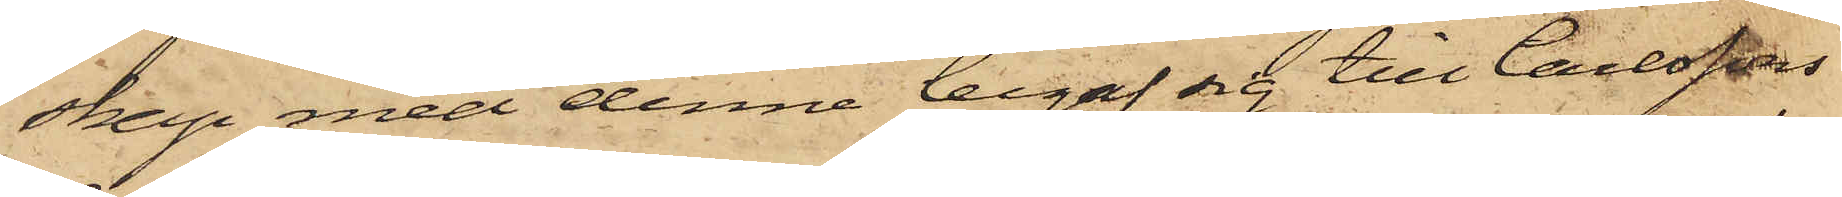skap med denne begaf sig till Carlssons
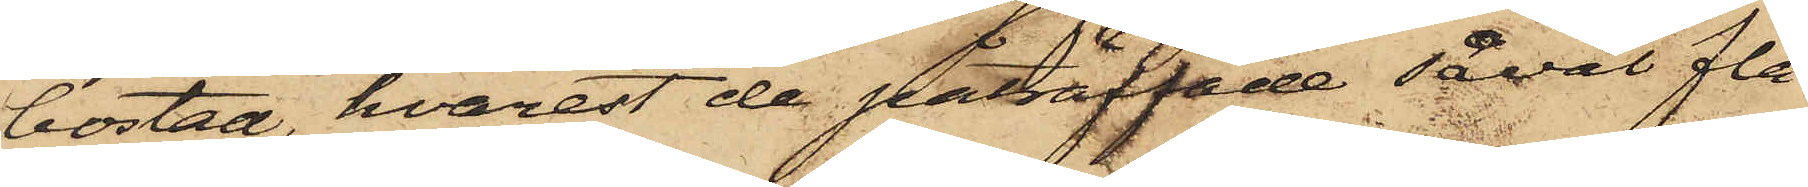bostad, hvarest de påträffade såväl fla¬
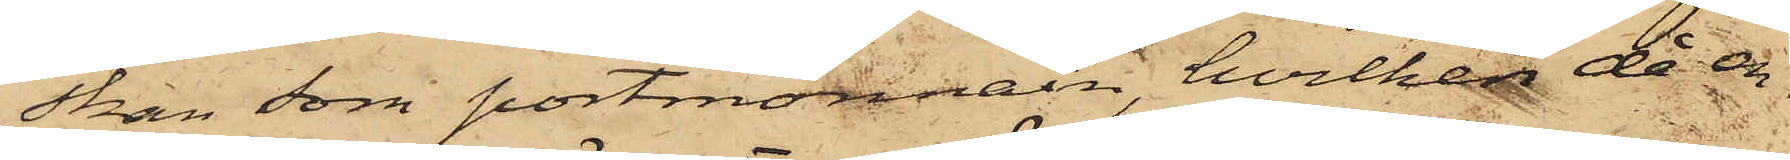skan som portmonnaien, hvilken då en¬
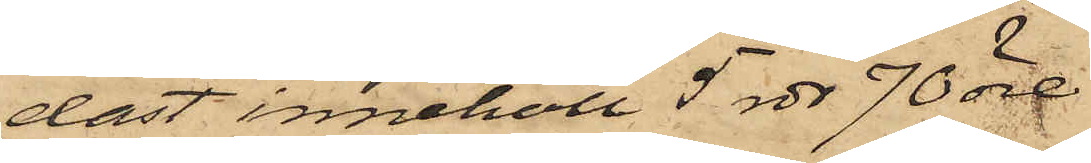dast innehöll 5 rdr 70 öre.
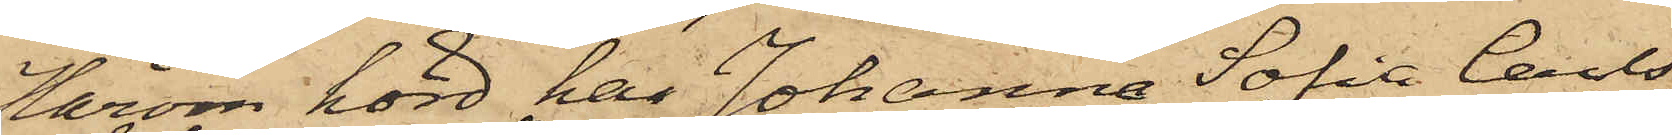Härom hörd har Johanna Sofia Carls¬
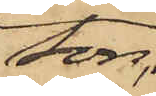son,
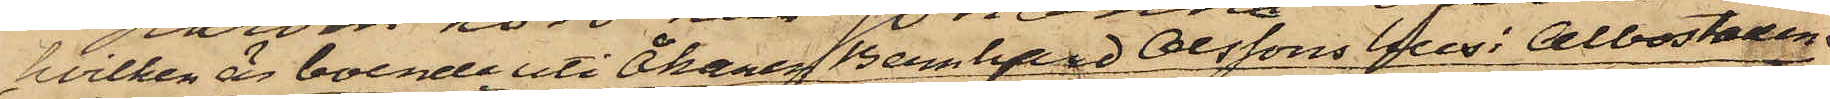hvilken är boende uti Åkaren Bernhard Olssons hus i Albostaden,
